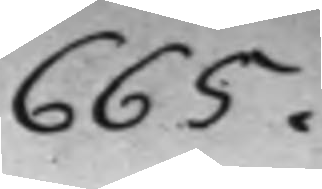665.
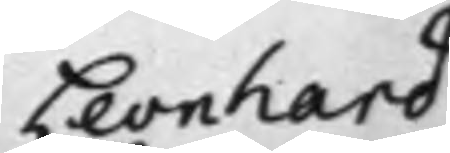Leonhard
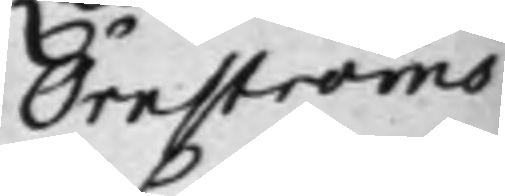Örnströms
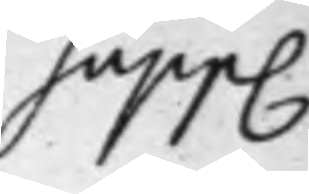Supp.
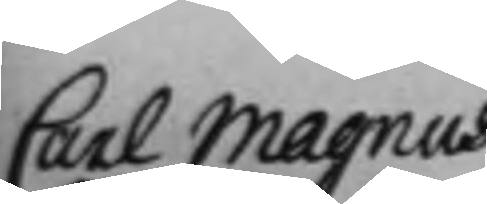Carl Magnus
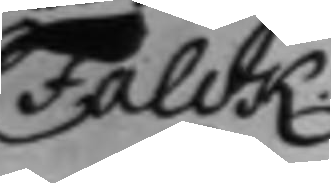Falck.
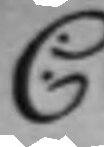C:
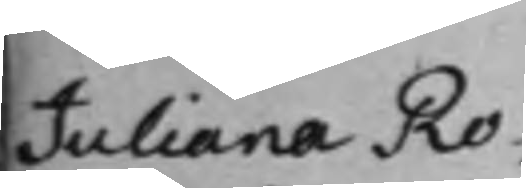Juliana Ro¬
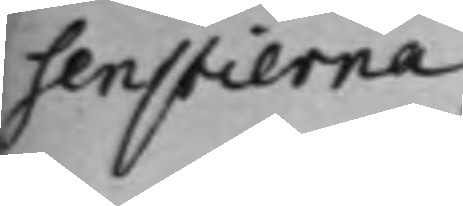senstierna,
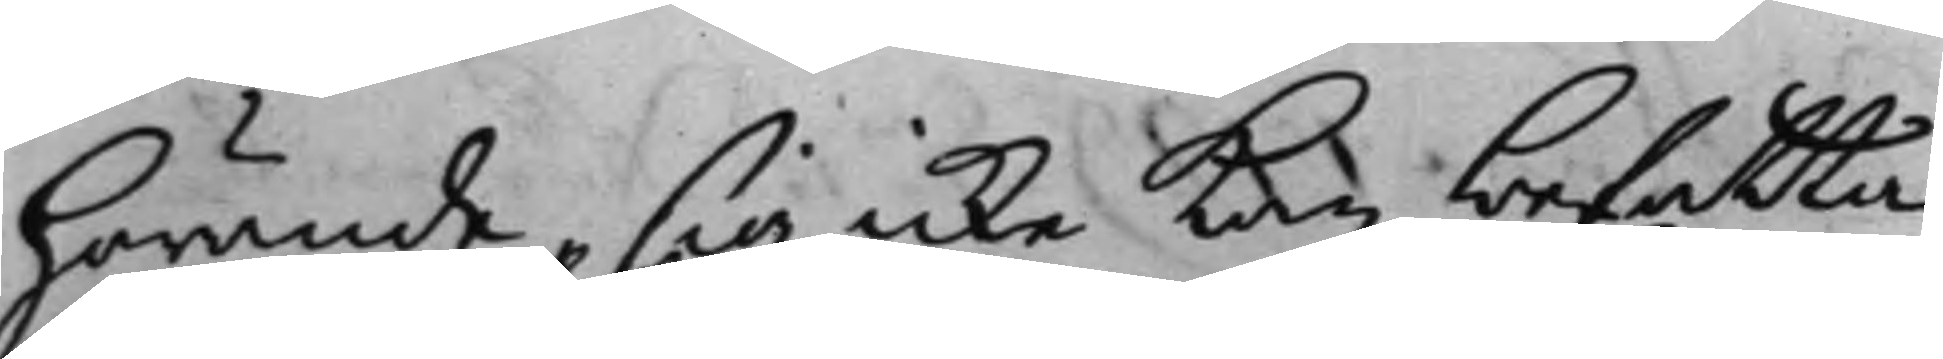hörande, sig icke kan befatta,
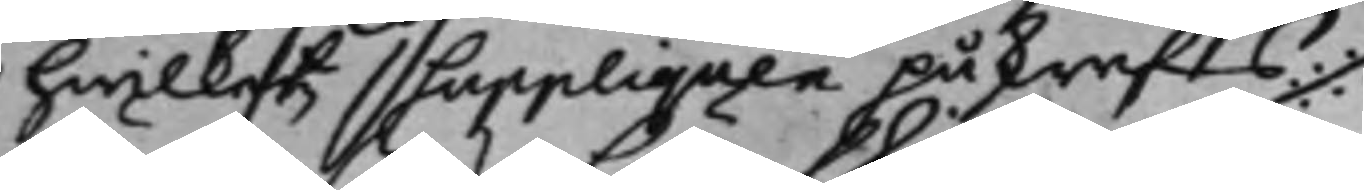hwilket Suppliquen påskrefs
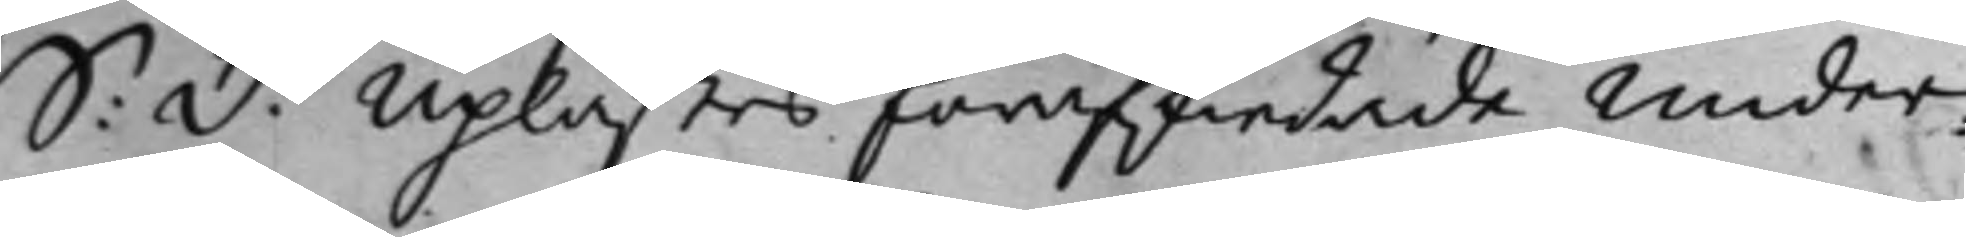S: D: Uplästes förafskiedade under¬
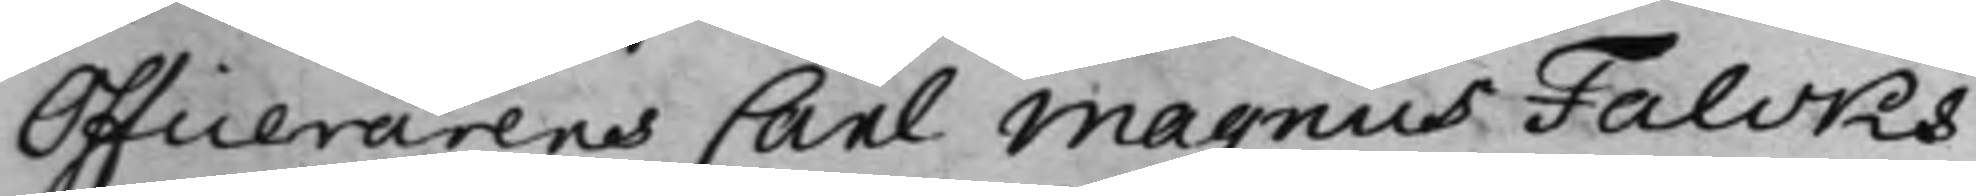Officerarens Carl Magnus Falcks
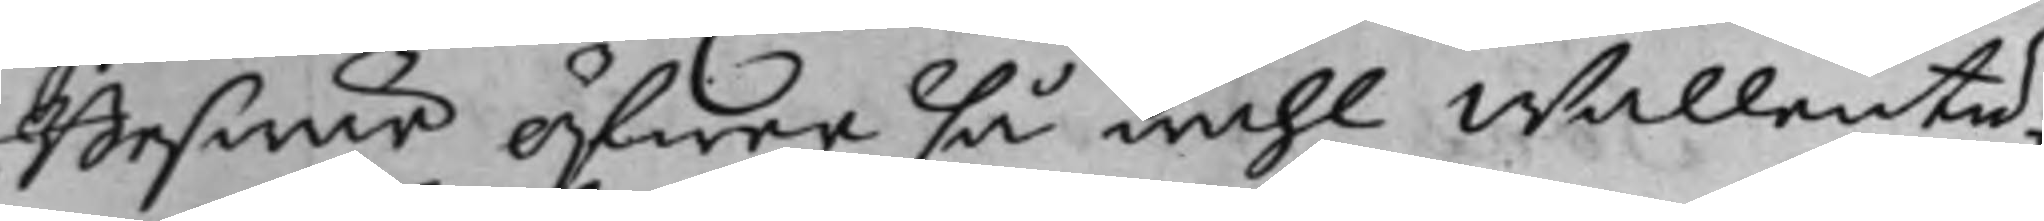Beswär öfwer så wähl Wallentu¬
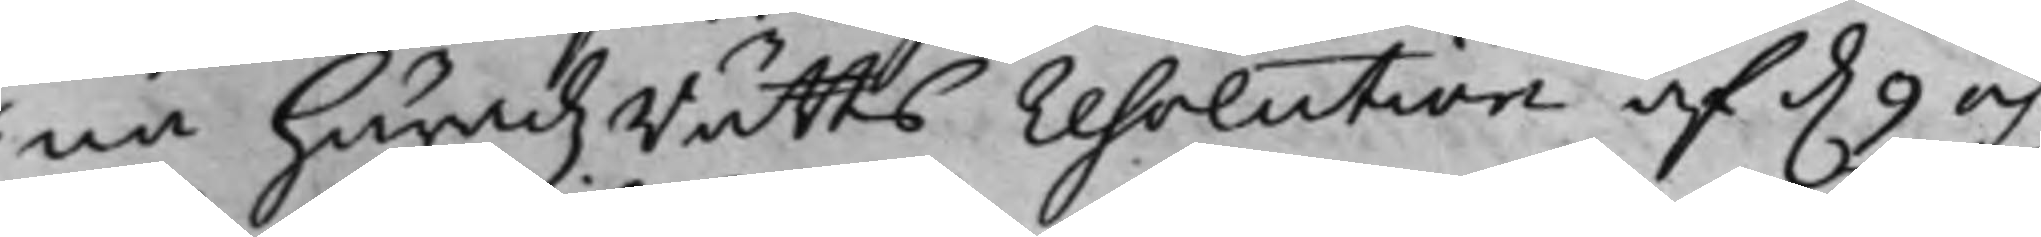na häradzRätts resolution af d. 9 och
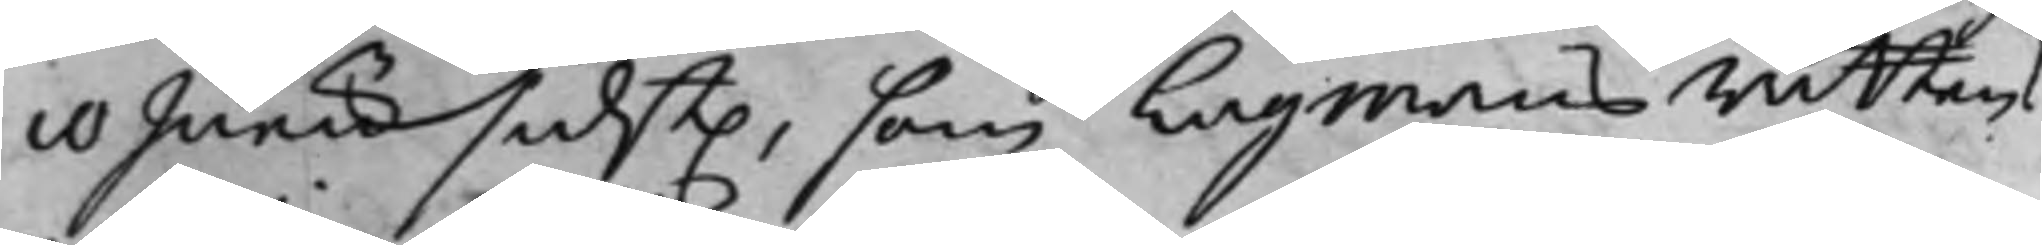10 Junii sidst., som Lagmans rättens
